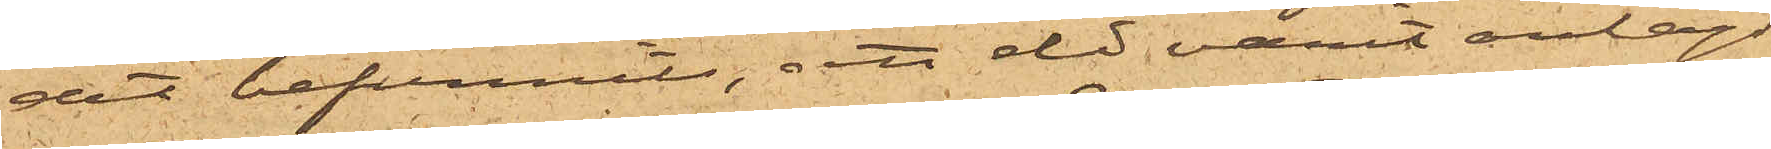det befunnits, att eld varit anlagd
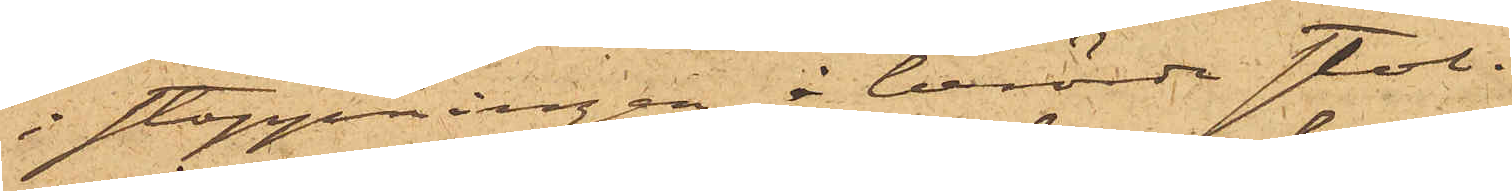i stoppningen i berörde stol.
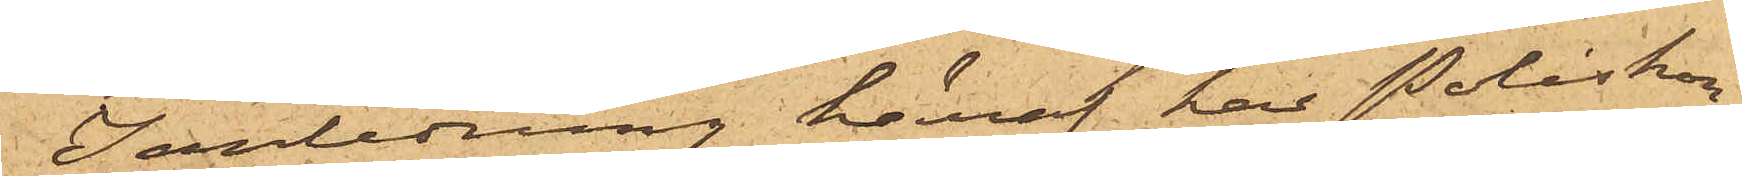I anledning häraf har Poliskon¬
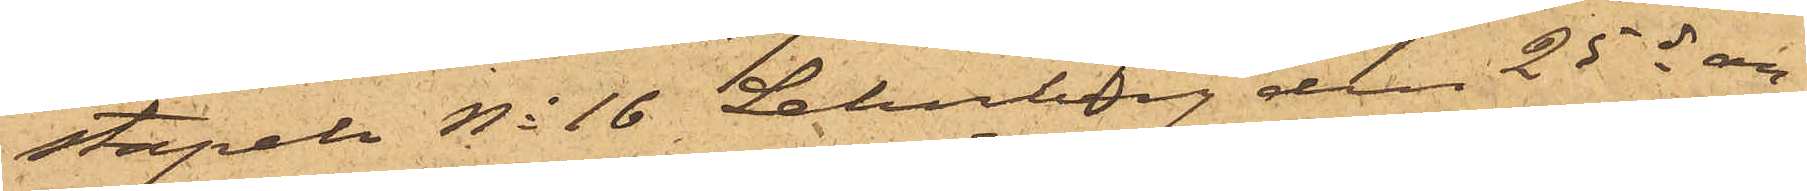stapel No 16 Lehnberg den 25 ds an¬
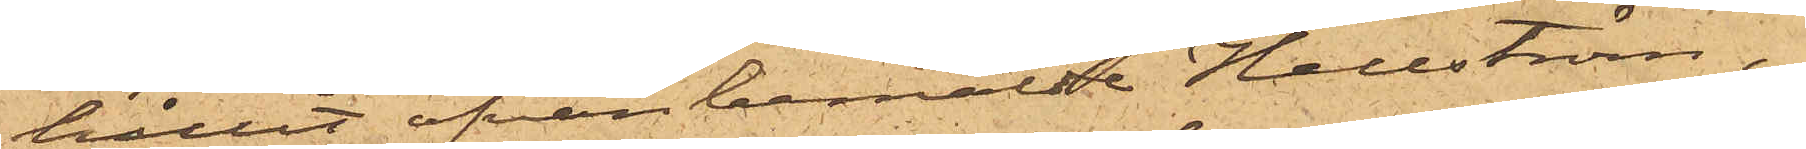hållit ofvanbemälde Hellström,
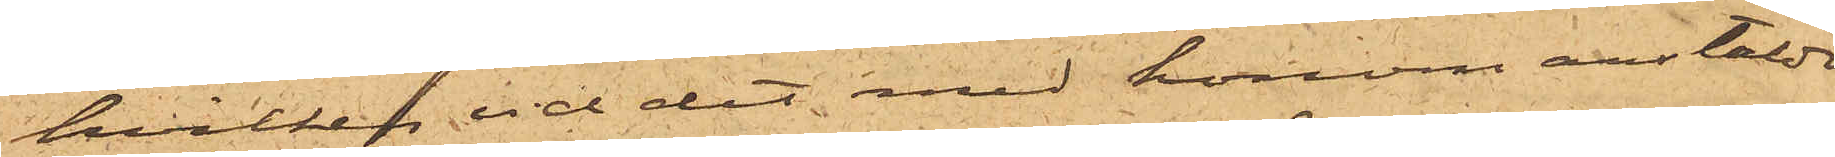hvilken vid det med honom anstälde
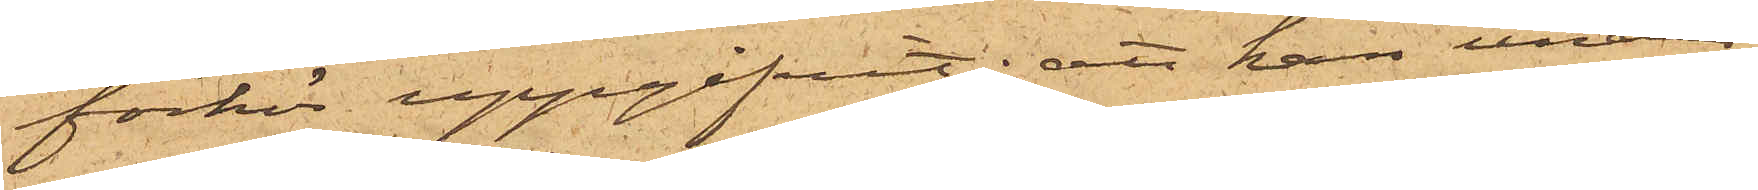förhör uppgifvit; att han under
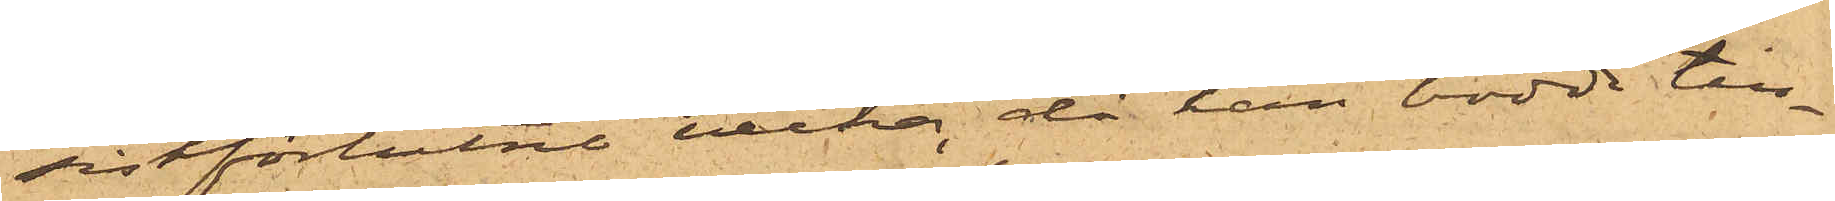sistförlidne vecka, då han bodde till¬
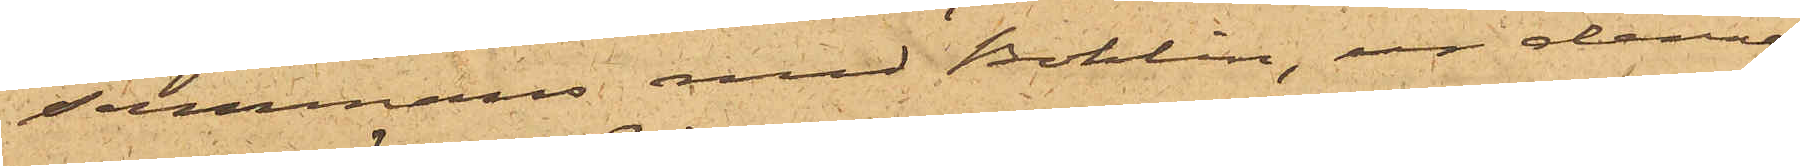sammans med Bohlin, ur dennes
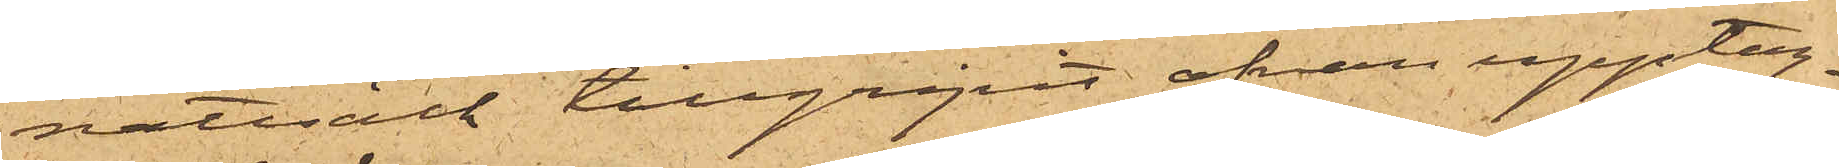nattsäck tillgripit ofvan upptag¬
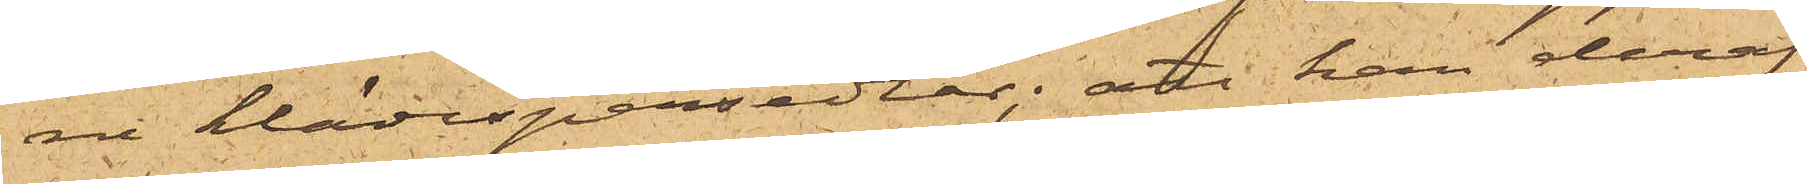ne klädespersedlar; att han deraf
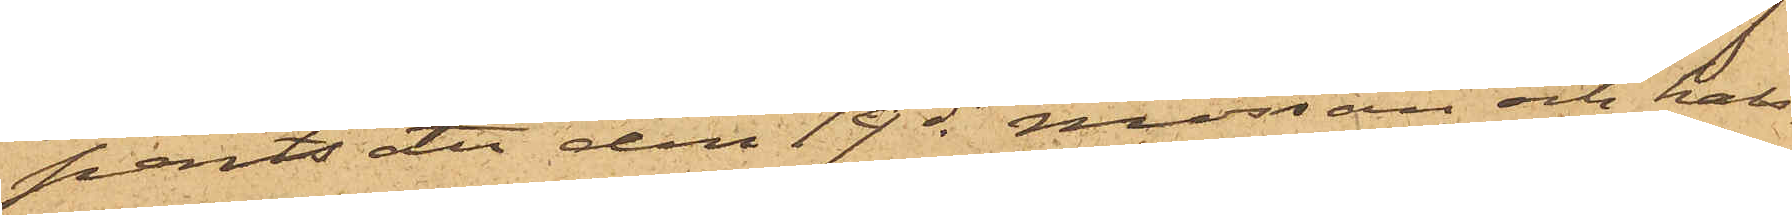pantsatt den 19 ds mössan och hal¬
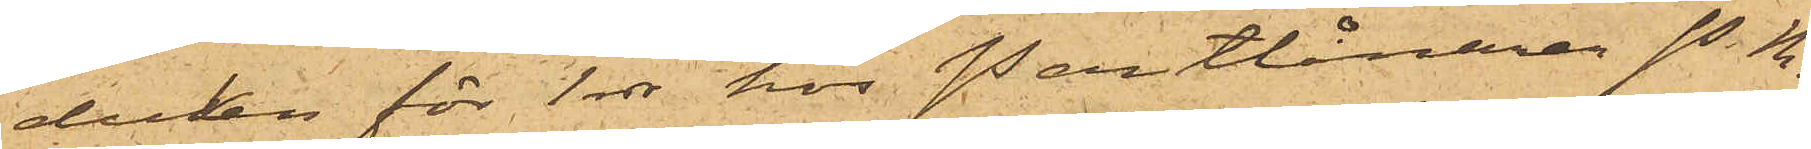duken för 1 rdr hos Pantlånaren P.M.
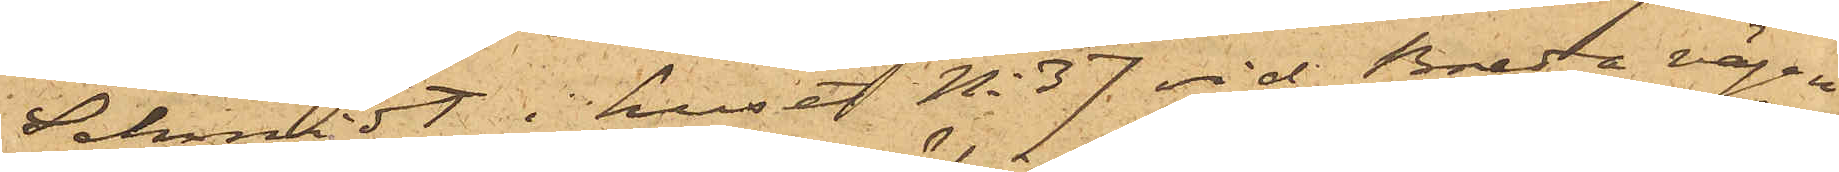Schmidt i huset No 37 vid Breda vägen
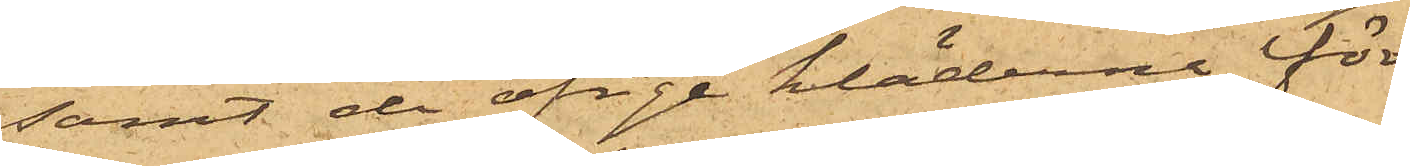samt de öfrige kläderne för
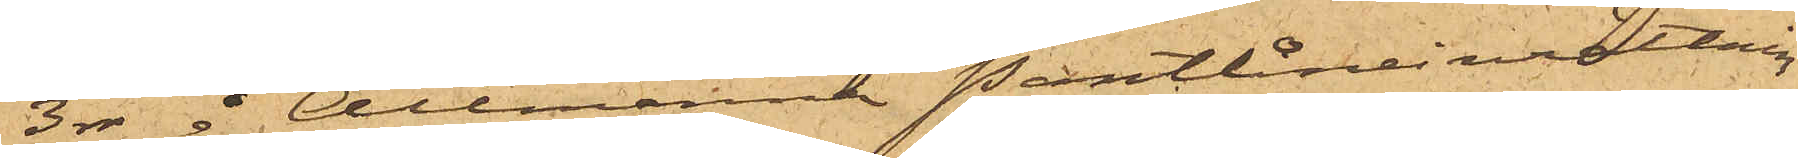3 rdr å Allmänna Pantlåneinrättnin¬
